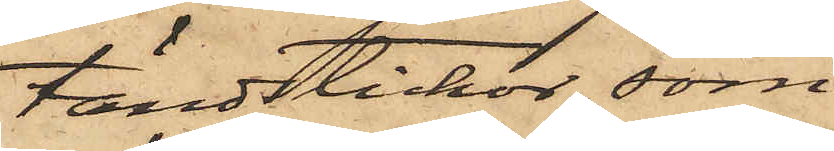tändstickor, som
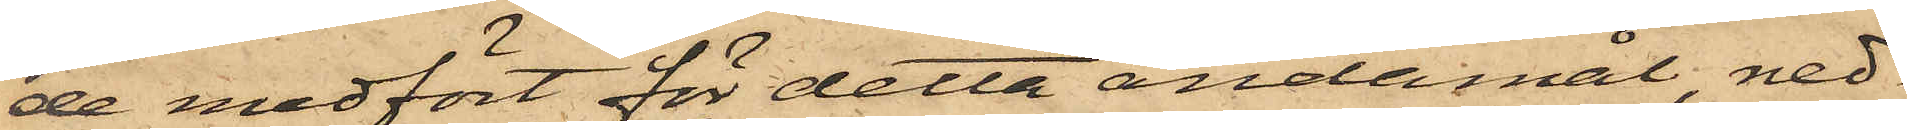de medfört för detta ändamål, ned¬
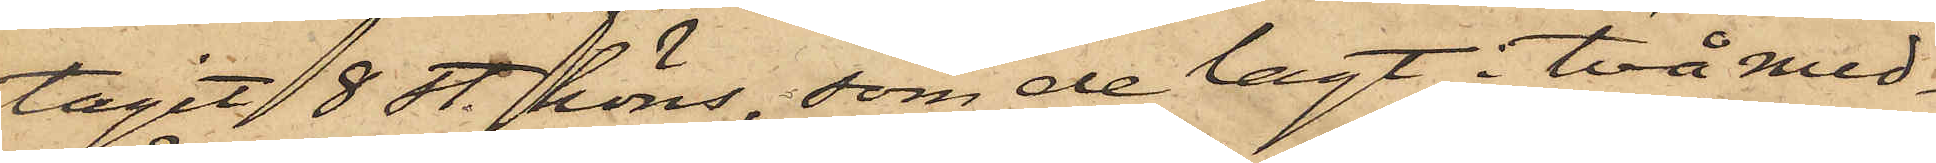tagit 8 st. höns, som de lagt i två med¬
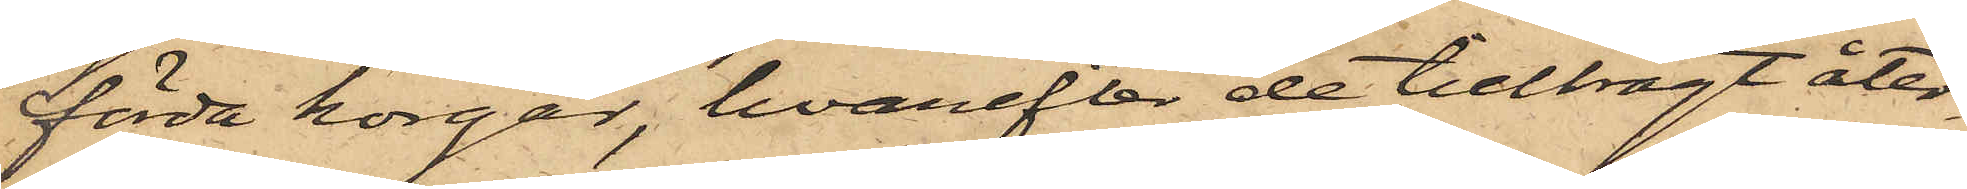förda korgar, hvarefter de tillbragt åter¬
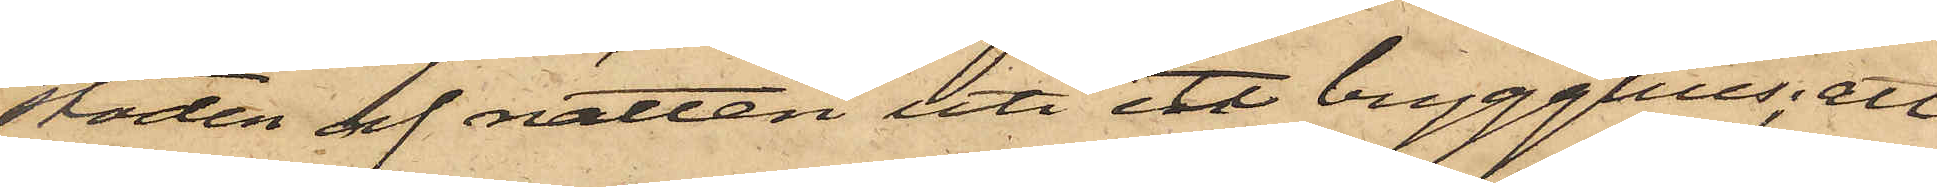stoden af natten uti ett brygghus; att
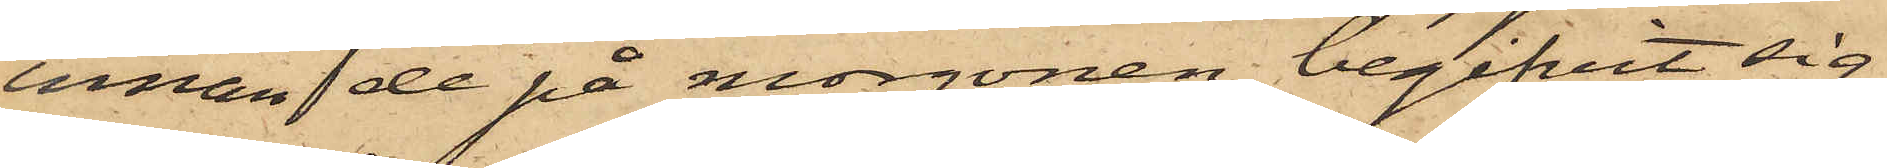innan de på morgonen begifvit sig
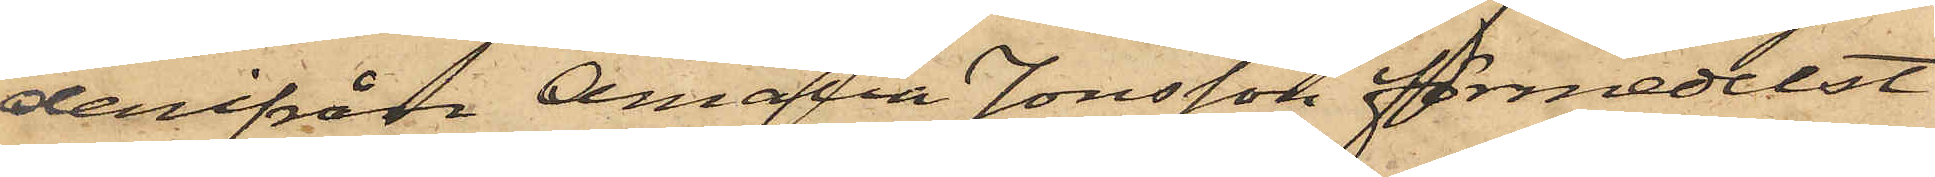derifrån Amalia Jonsson förmedelst
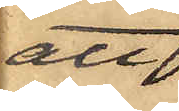att
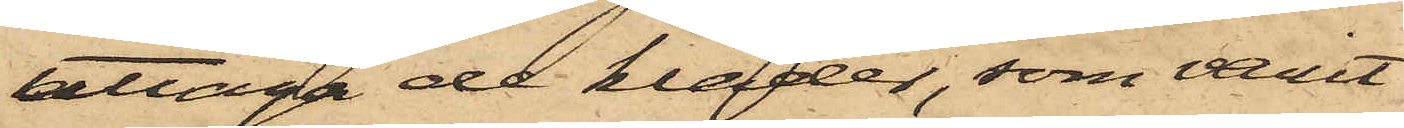uttaga de kläder, som varit
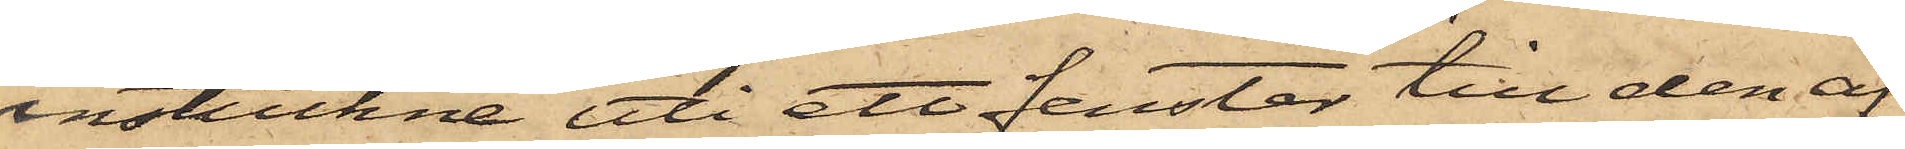instuckne uti ett fenster till den af
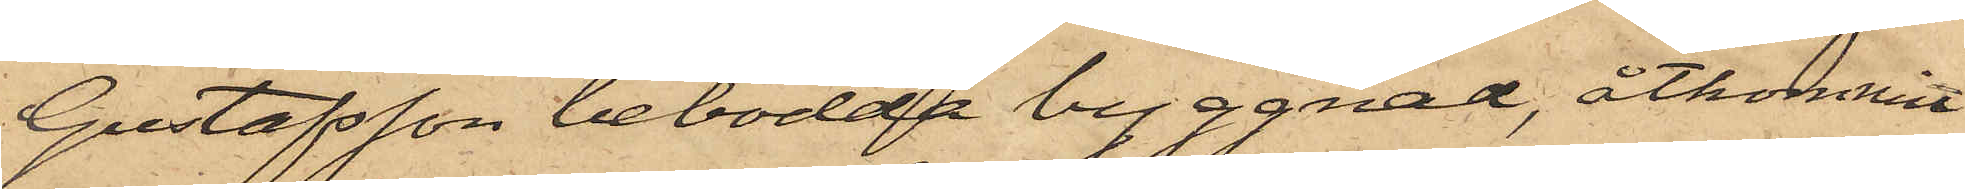Gustafsson bebodda byggnad, åtkommit
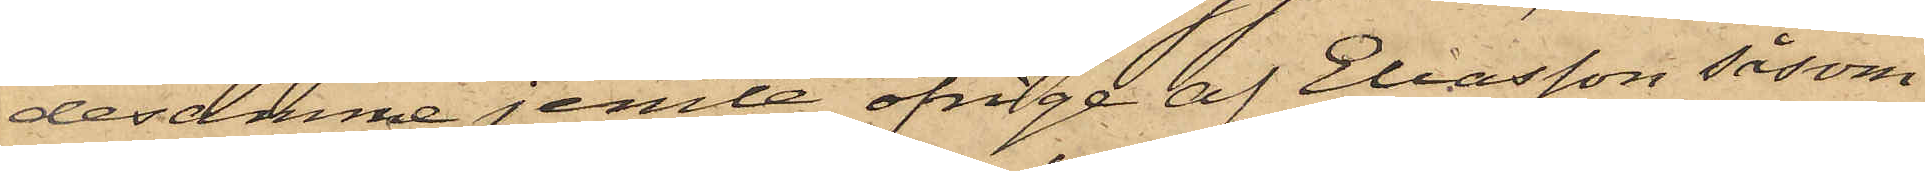desamme jemte öfriga af Eliasson såsom
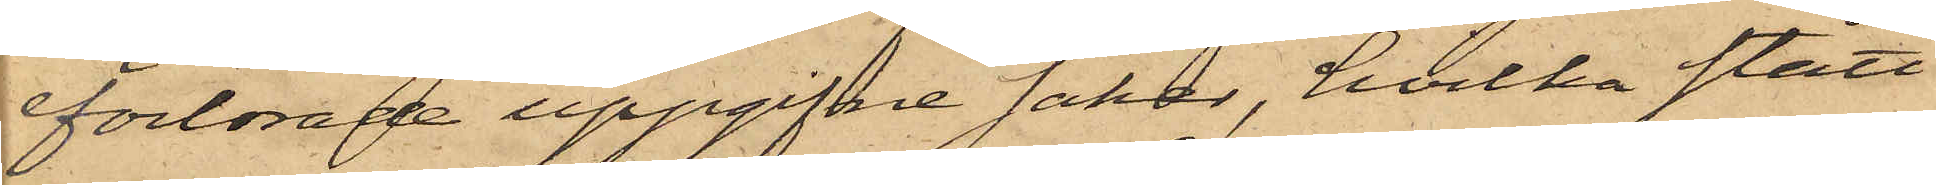förlorade uppgifne saker, hvilka stått
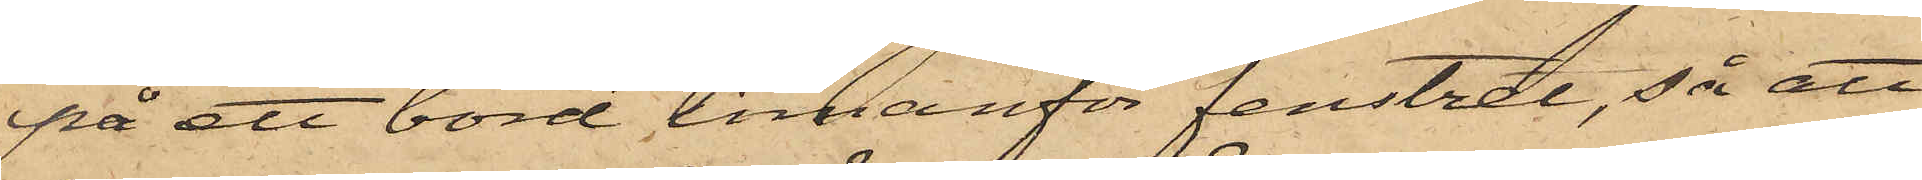på ett bord innanför fenstret, så att
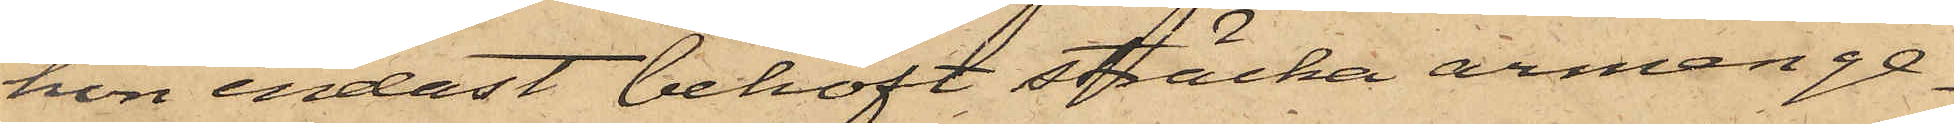hon endast behöft sträcka armen ge¬
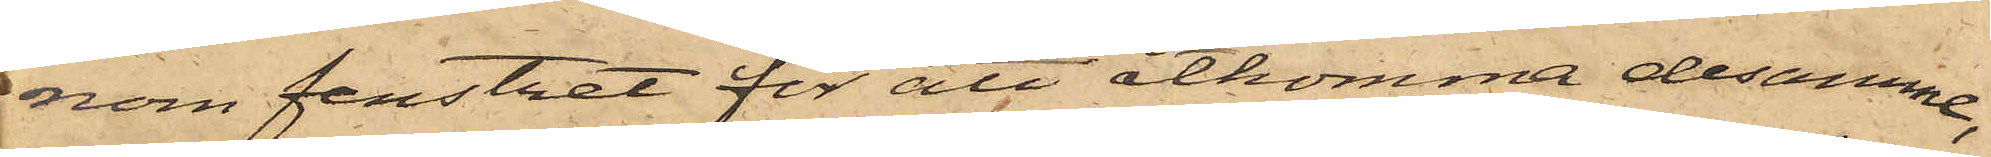nom fenstret för att åtkomma desamma;
